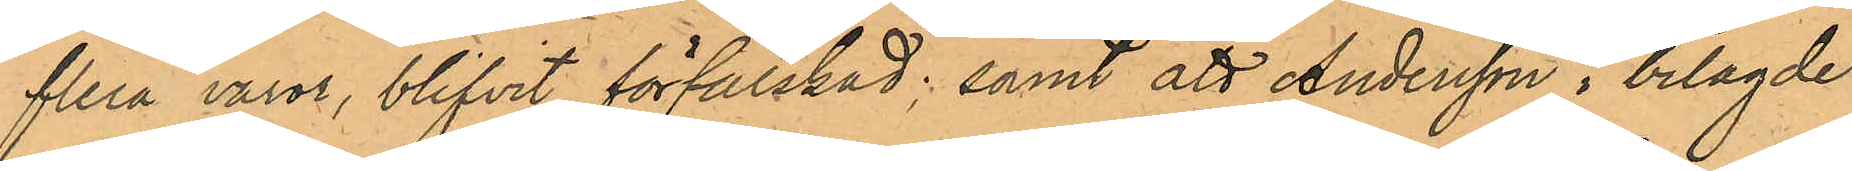flera varor, blifvit förfalskad; samt att Andersson i bilagde
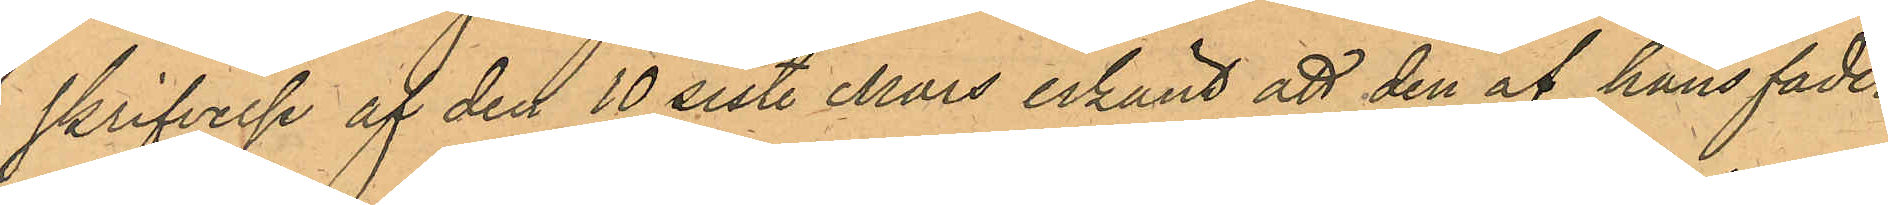skrifvelse af den 10 sist. Mars erkänt att den af hans fader
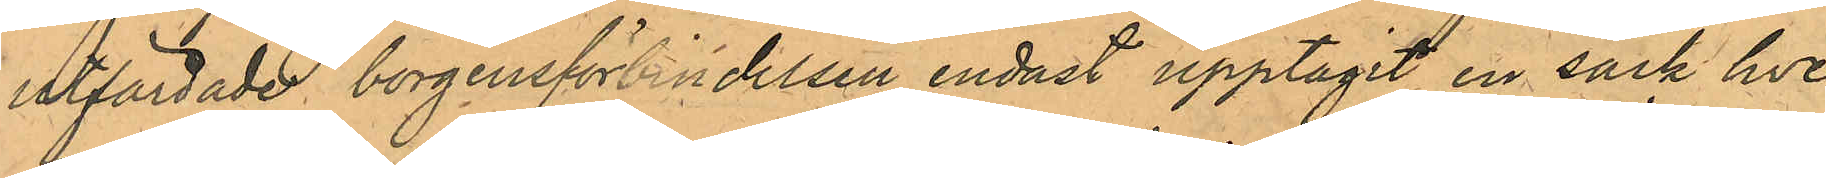utfärdade borgensförbindelsen endast upptagit en säck hve¬
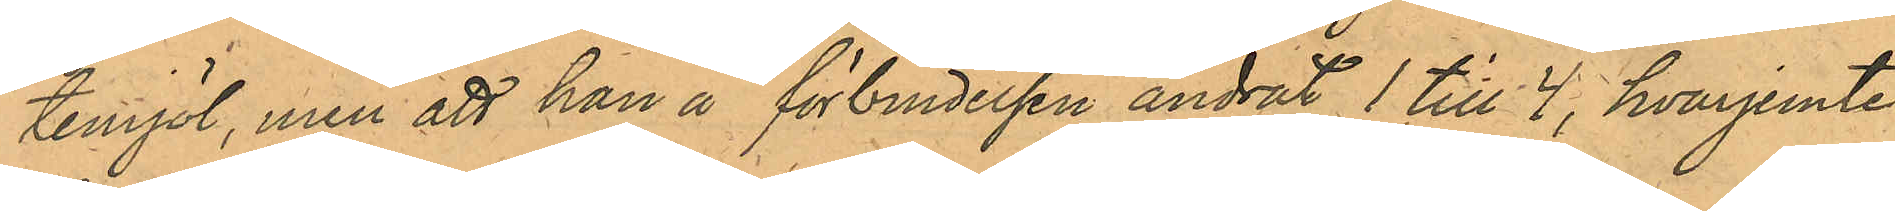temjöl, men att han å förbindelsen ändrat 1 till 4, hvarjemte
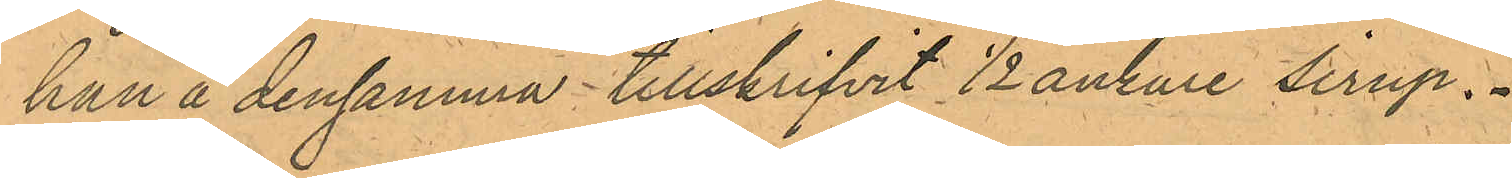han å densamma tillskrifvit 1/2 ankare sirup.
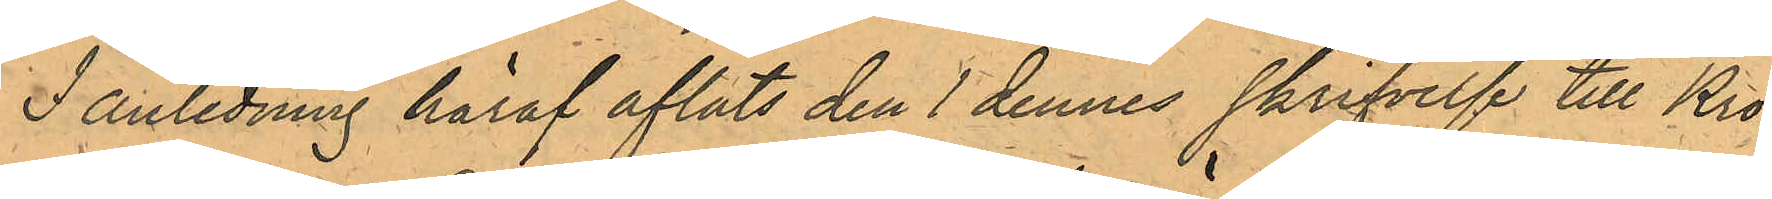I anledning häraf afläts den 1 dennes skrifvelse till Kro¬
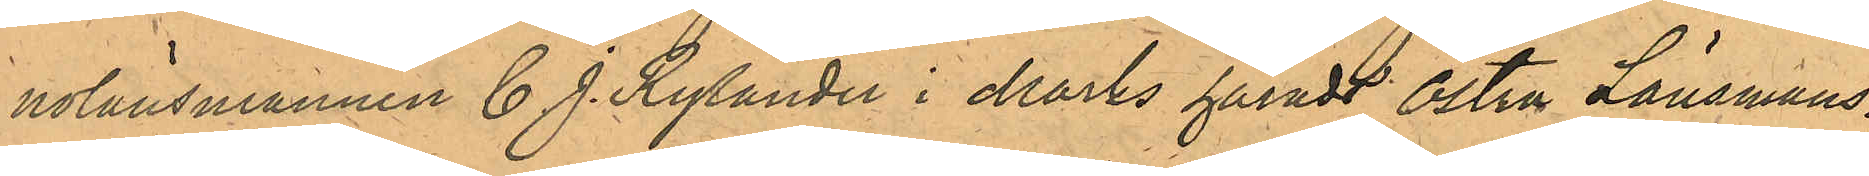nolänsmannen C. J. Rylander i Marks härads Östra Länsmans¬
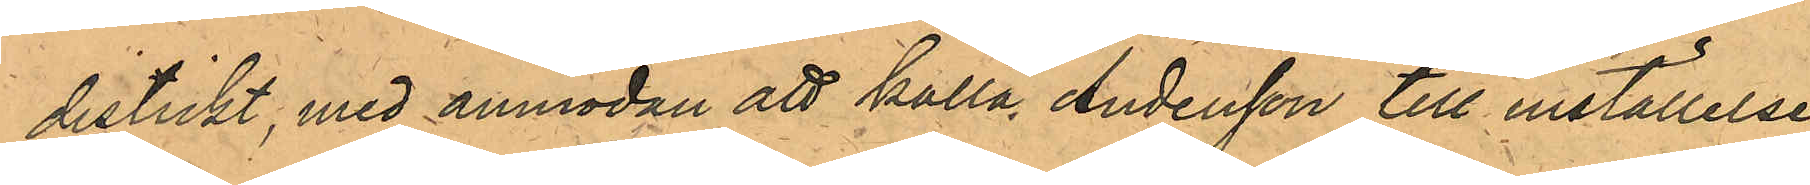distrikt, med anmodan att kalla Andersson till inställelse
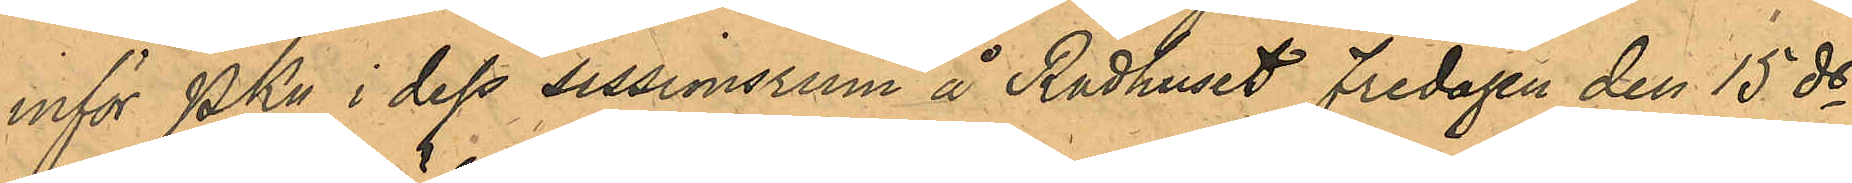inför PKn i dess sessionsrum å Rådhuset Fredagen den 15 ds
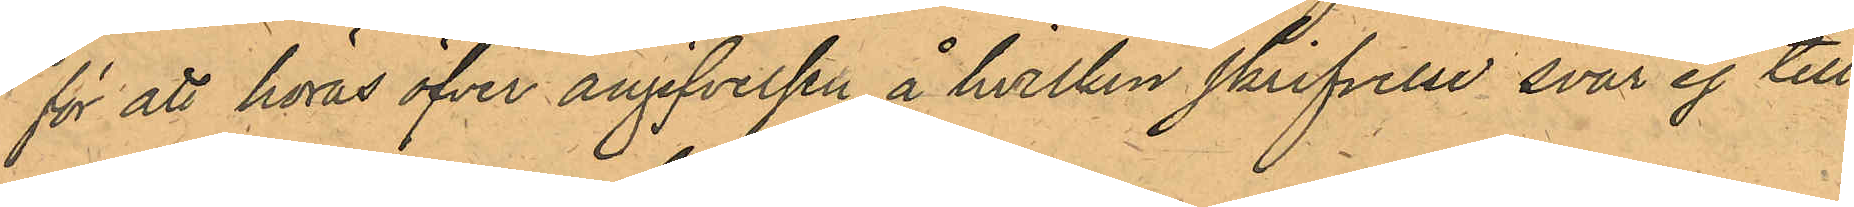för att höras öfver angifvelsen, å hvilken skrifvelse svar ej till
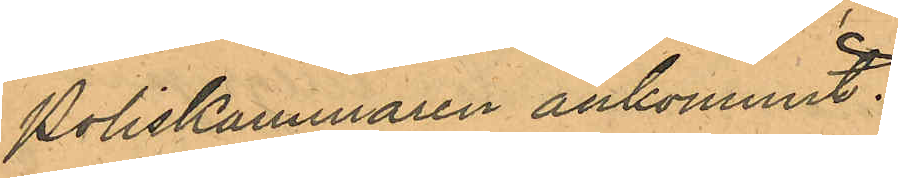Poliskammaren ankommit.
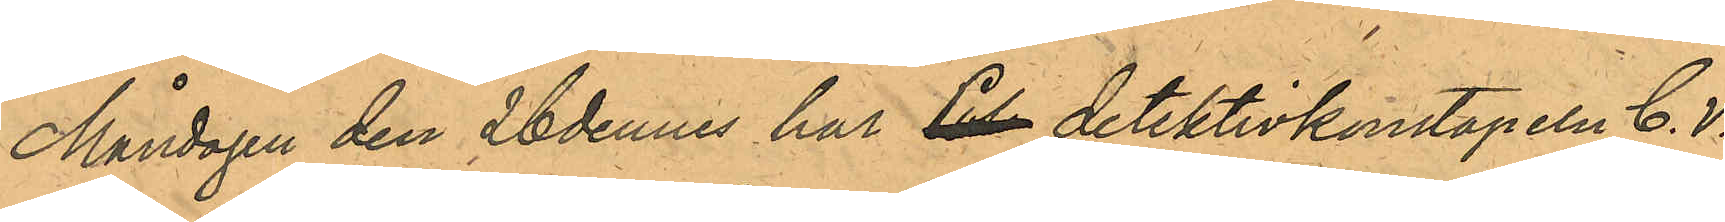Måndagen den 26 dennes har Pol detektivkonstapeln C. V.
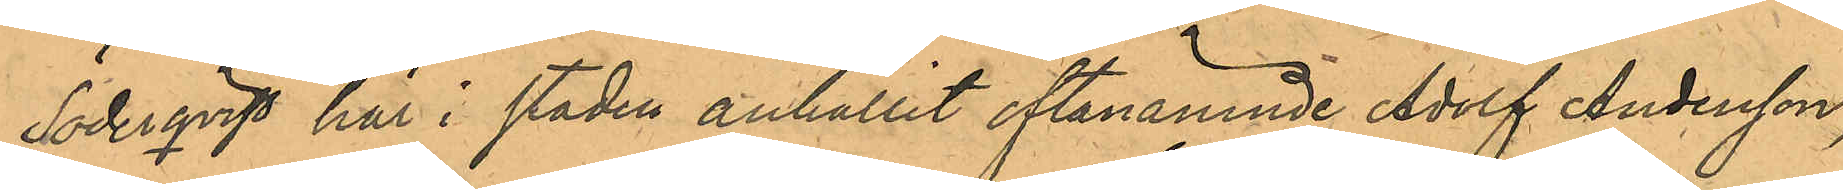Söderqvist här i staden anhållit oftanämnde Adolf Andersson,
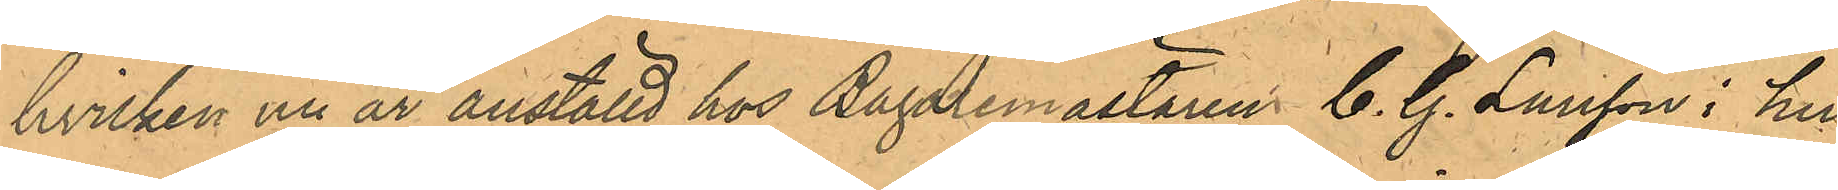hvilken nu år anställd hos Bagaremästaren C. G. Larsson i hu¬
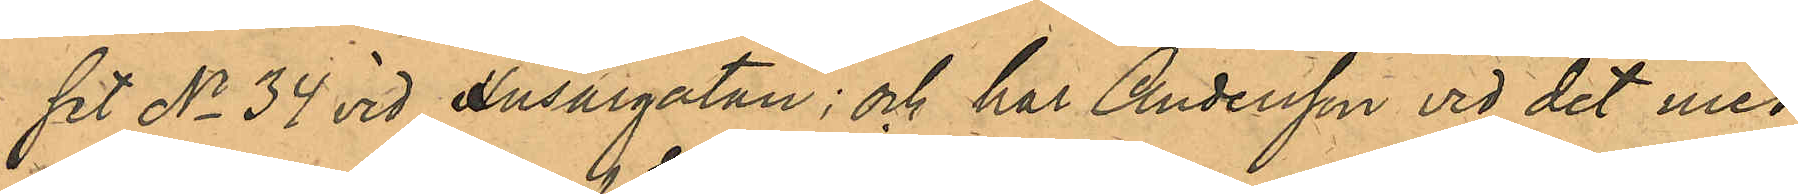set No 34 vid Husargatan; och har Andersson vid det med
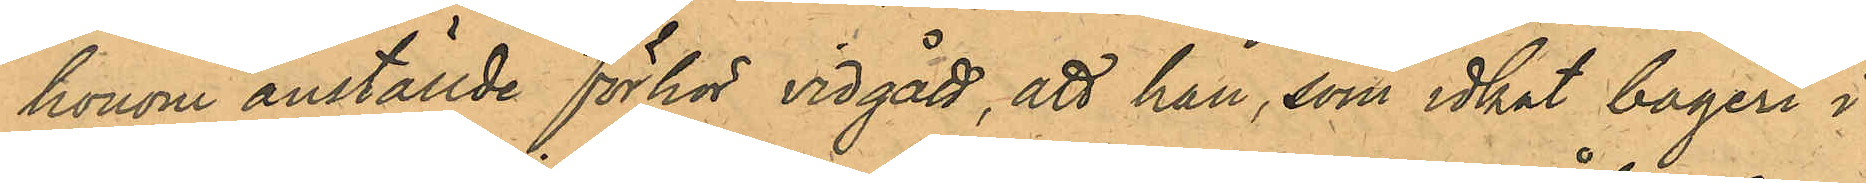honom anställde förhör vidgått, att han, som idkat bageri i
